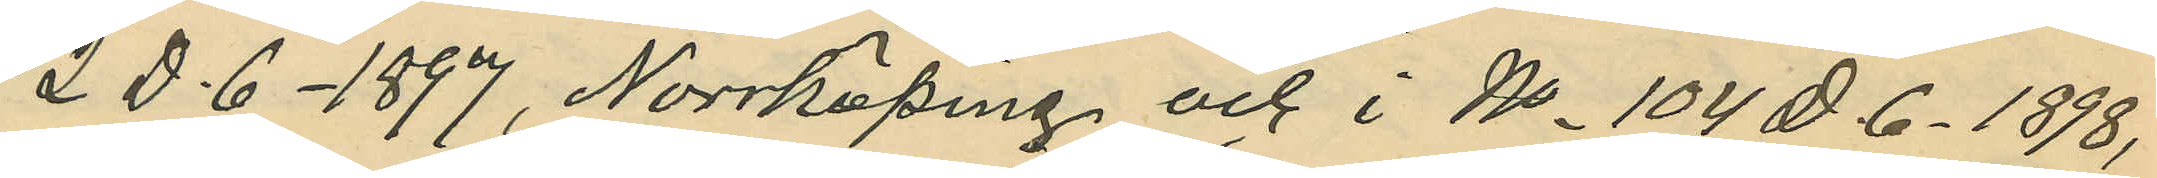2 D. 6 - 1897, Norrköping och i No 104 D. 6 - 1898,
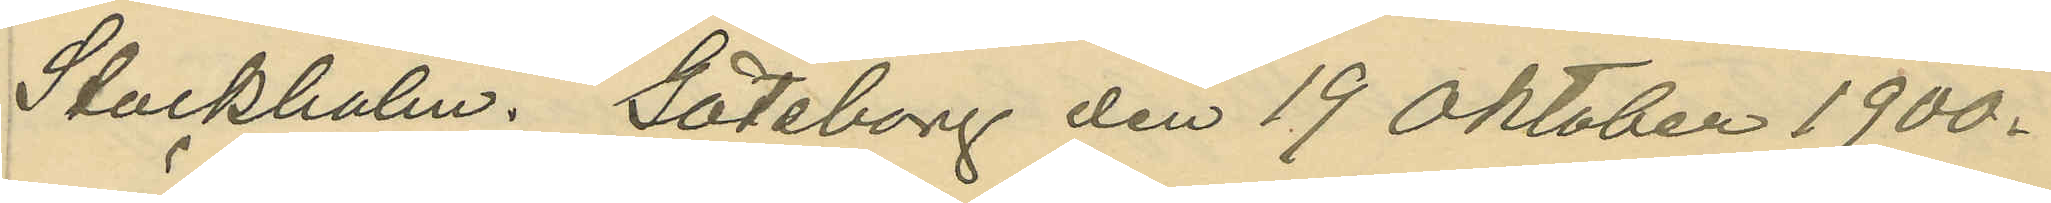Stockholm. Göteborg den 19 Oktober 1900.
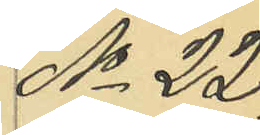No 22
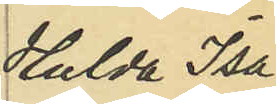Hulda Isa¬
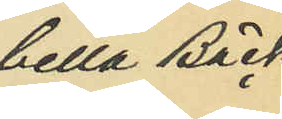bella Bäck¬
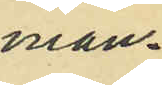man.
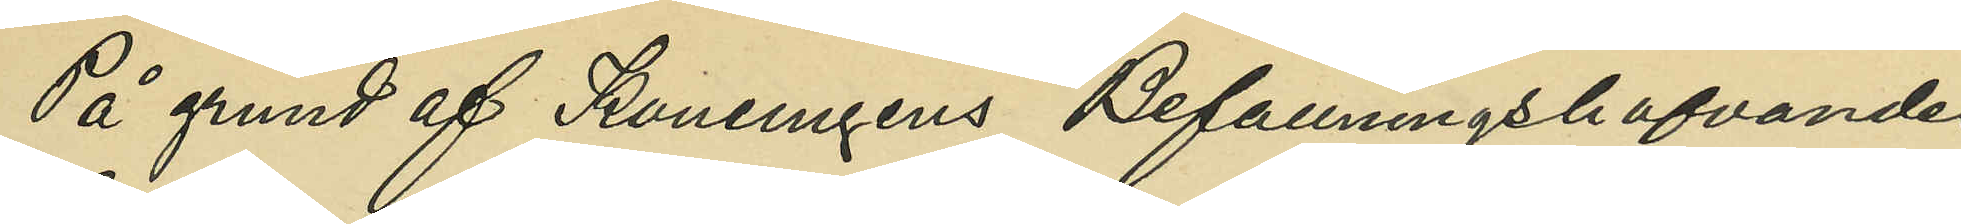På grund af Konungens Befallningshafvandes
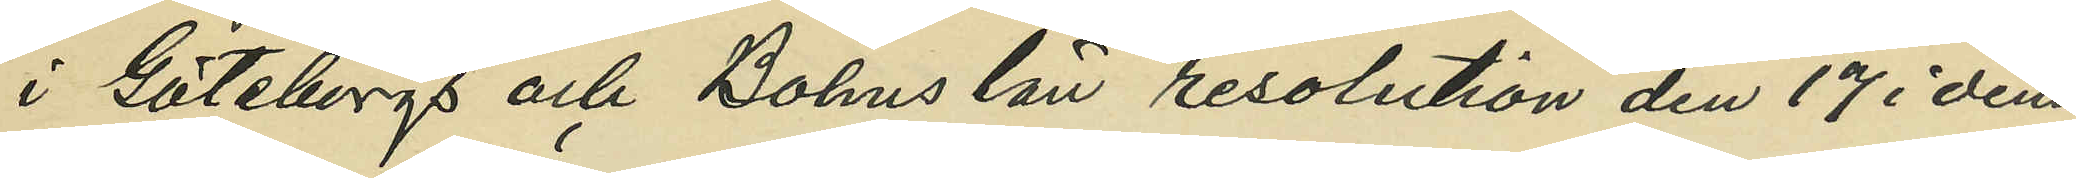i Göteborgs och Bohus län resolution den 17 i denna
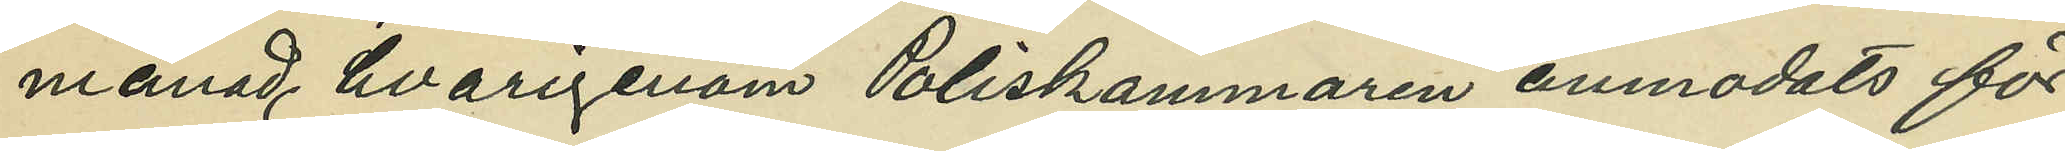månad, havrigenom Poliskammaren anmodats för¬
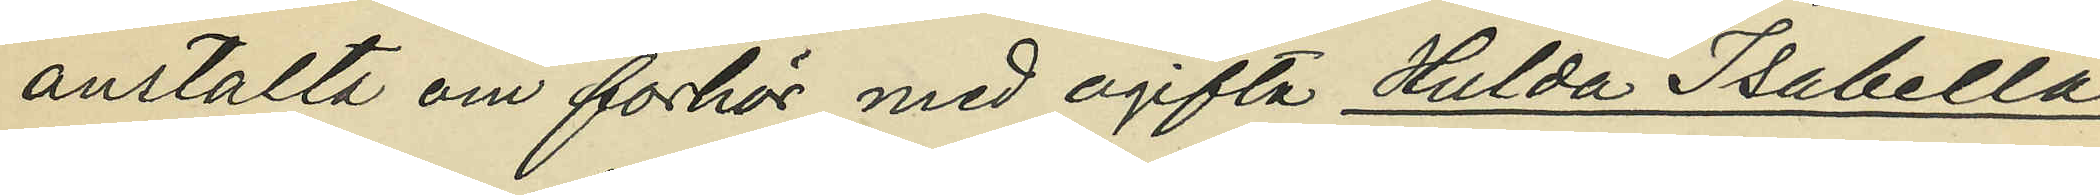anstalta om förhör med ogifta Hulda Isabella
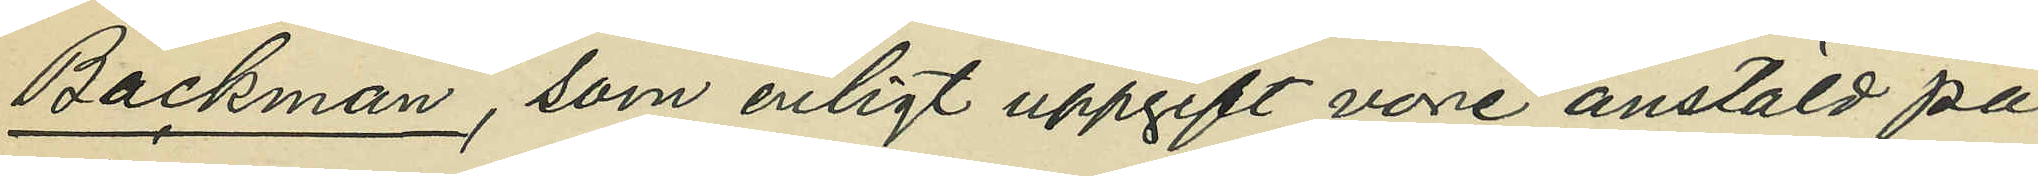Bäckman, som enligt uppgift vore anstäld på
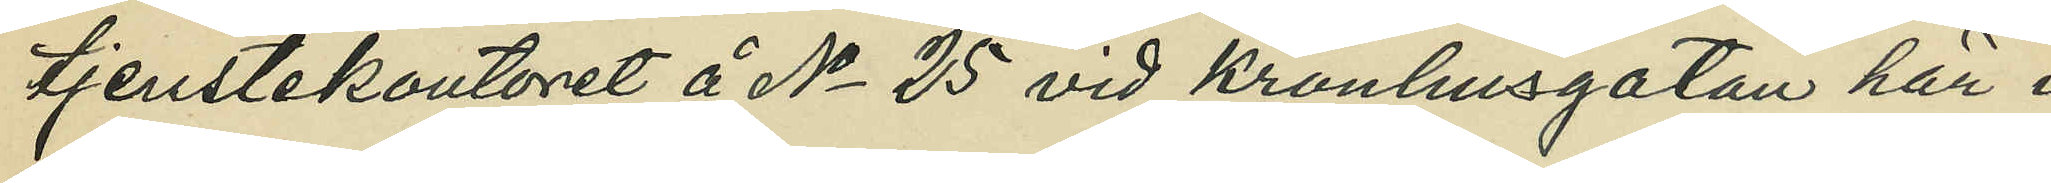tjenstekontoret å No 25 vid Kronhusgatan här i
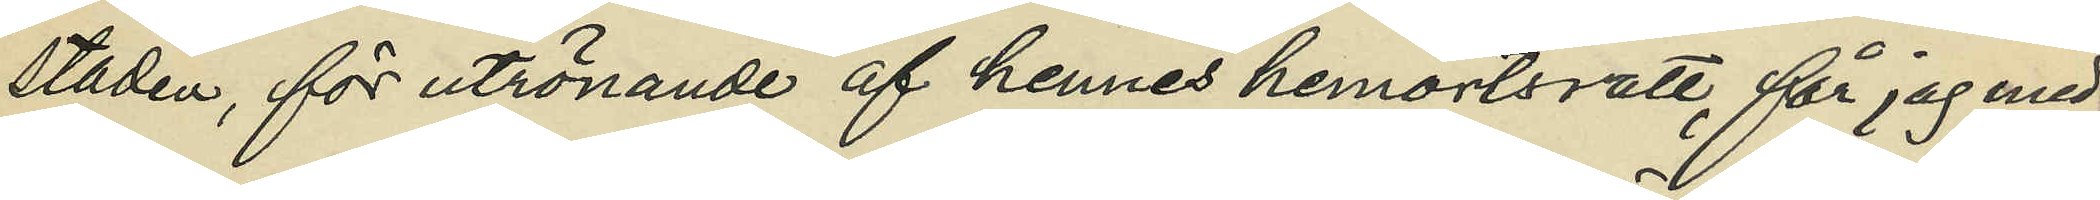staden, för utrönande af hennes hemortsrätt, får jag med¬
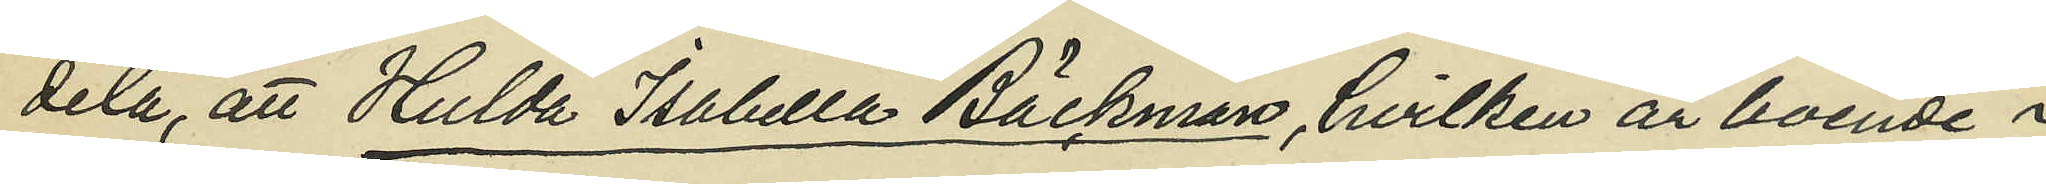dela, att Hulda Isabella Bäckman, hvilken är boende i
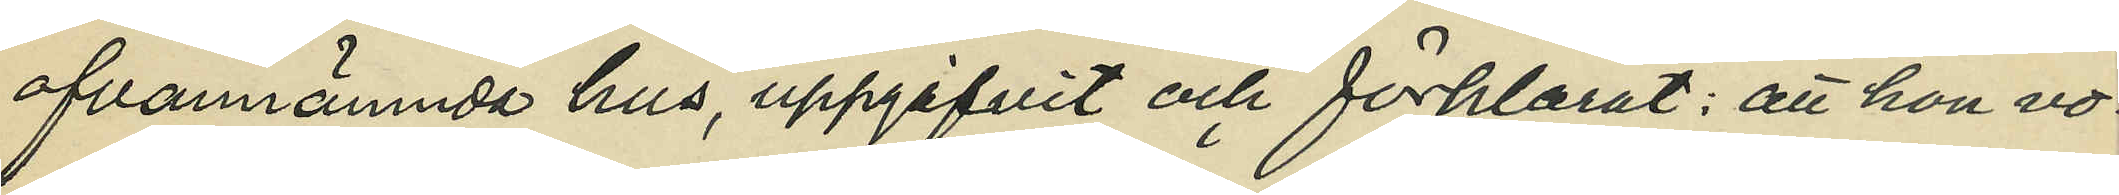ofvannämnda hus, uppgifvit och förklarat: att hon vo¬
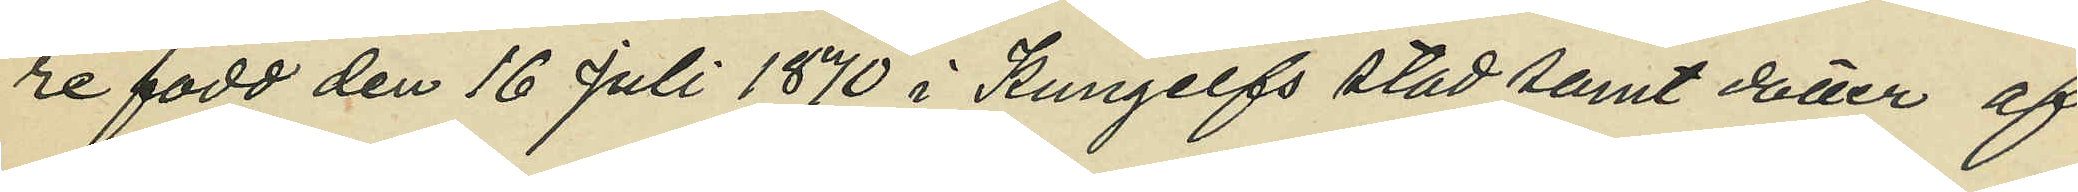re född den 16 Juli 1870 i Kungelfs stad samt dotter af
